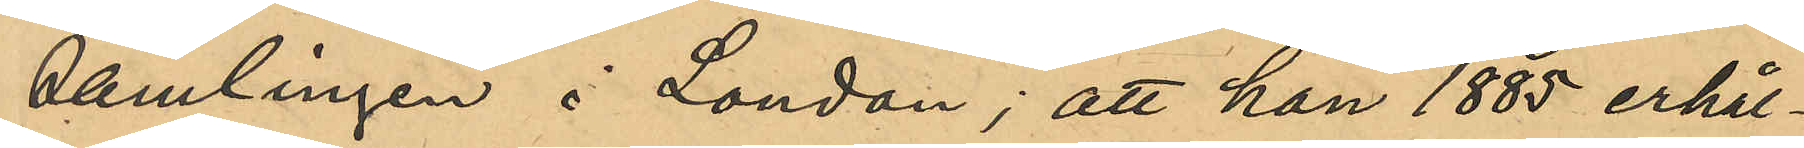samlingen i London; att han 1885 erhål¬
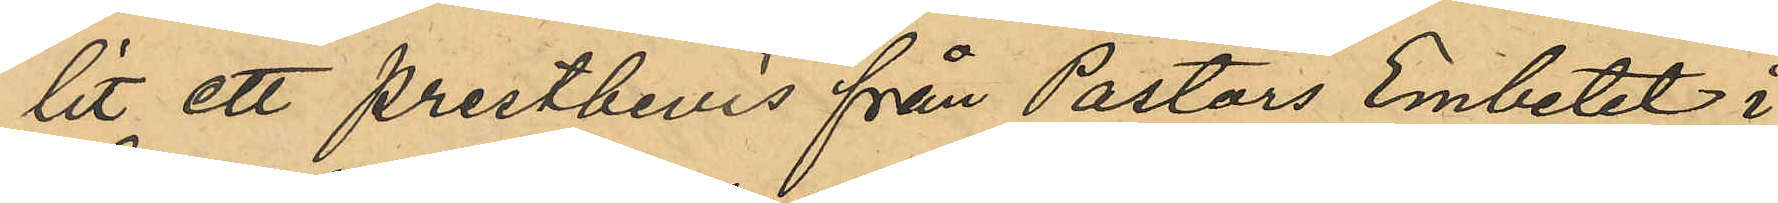lit ett prestbevis från Pastors Embetet i
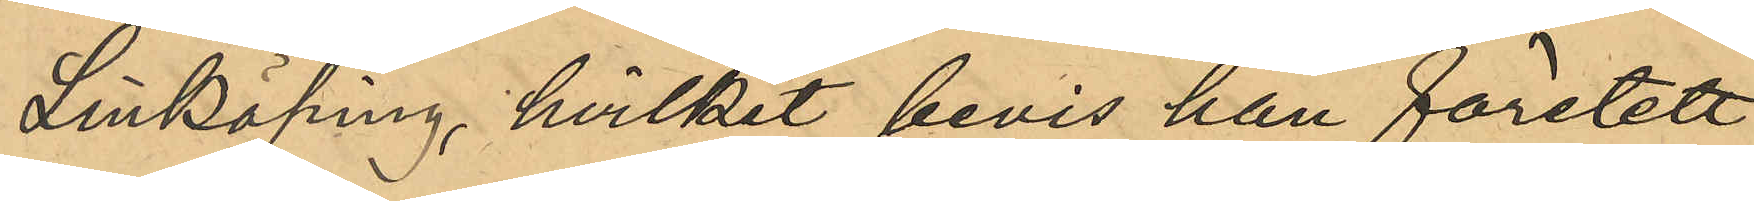Linköping, hvilket bevis han företett
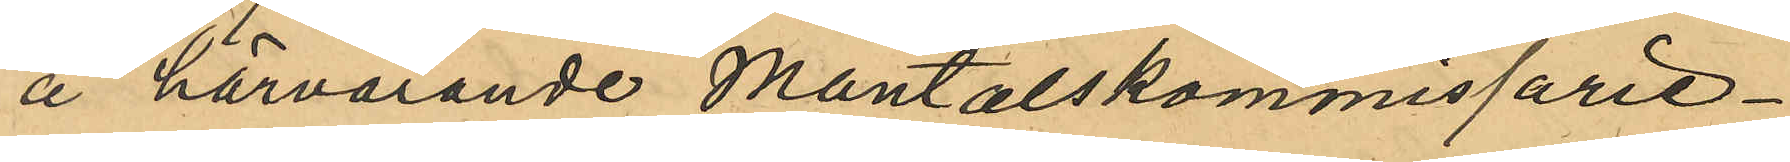å härvarande mantalskommisarie¬
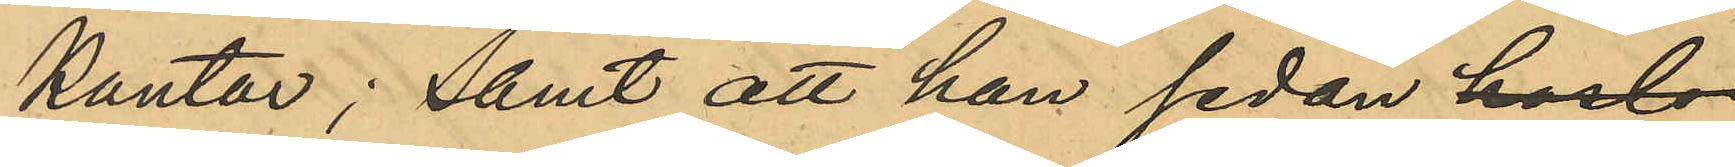kontor; samt att han sedan hade
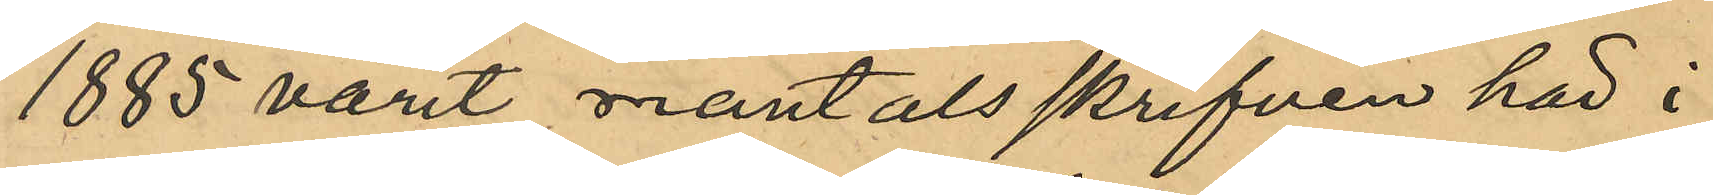1885 varit mantalsskrifven här i
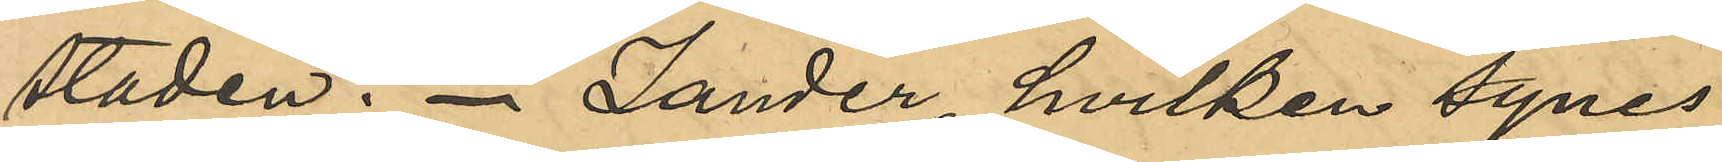staden. Zander, hvilken synes
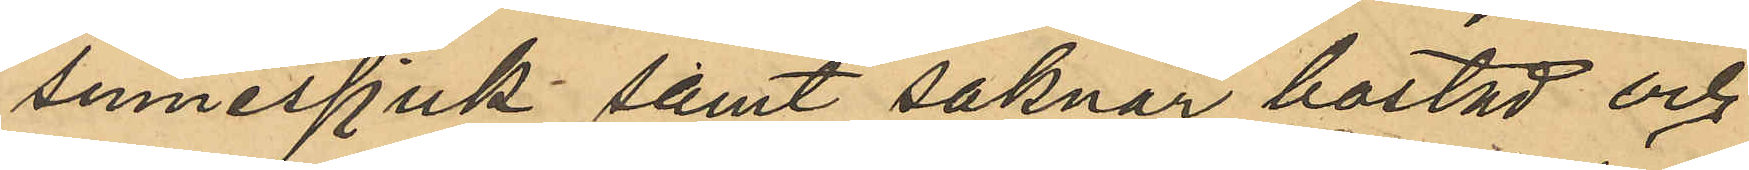sinnessjuk samt saknar bostad och
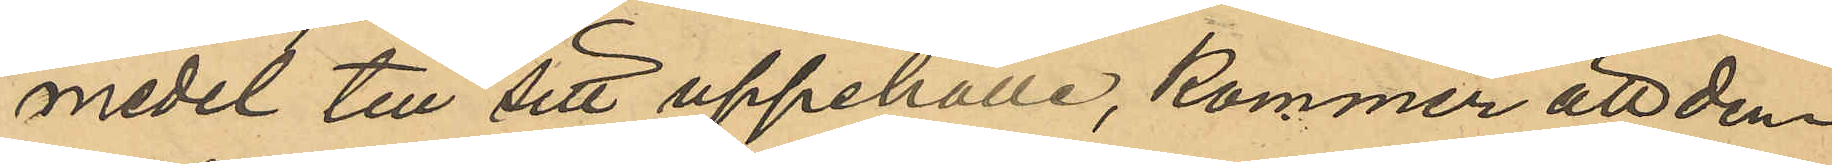medel till sitt uppehälle, kommer att den¬
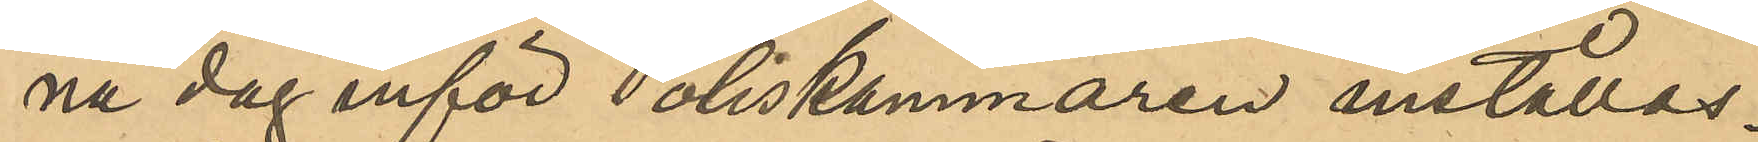na dag inför Poliskammaren inställas.
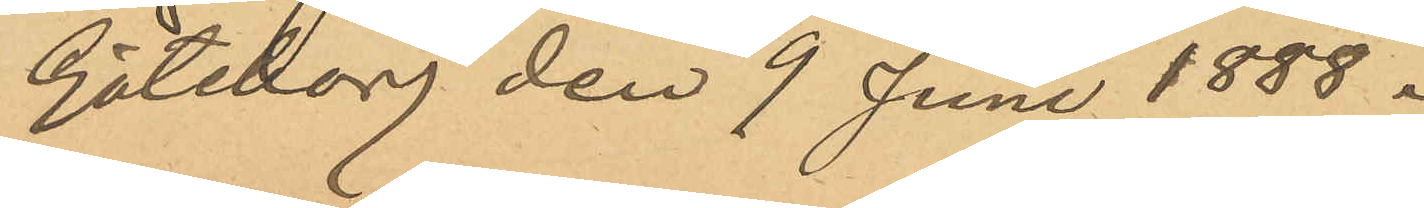Göteborg den 9 Juni 1888.
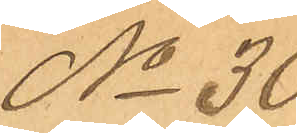No 30
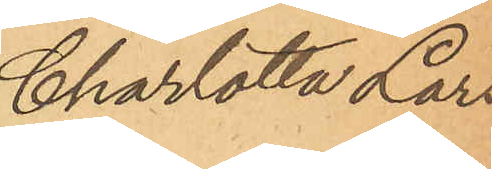Charlotta Lars¬
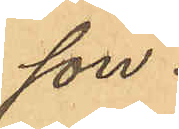son.
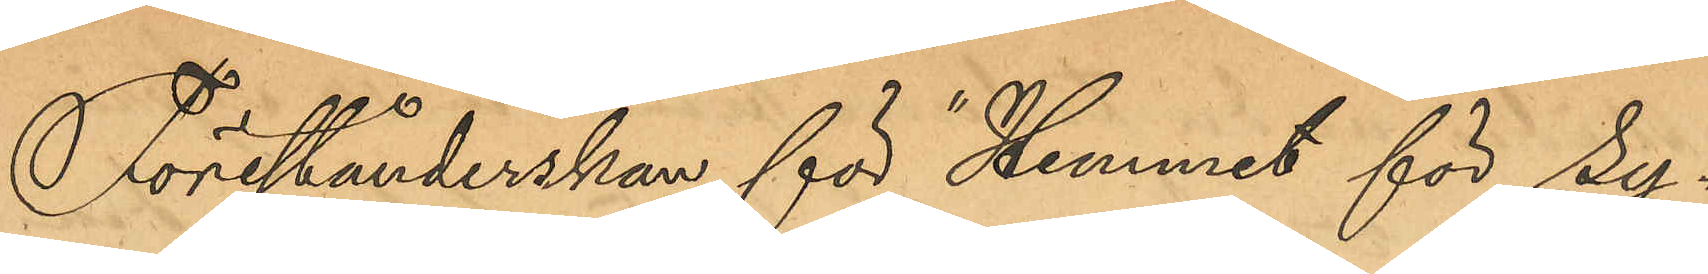Förestånderskan för "Hemmet för sy¬
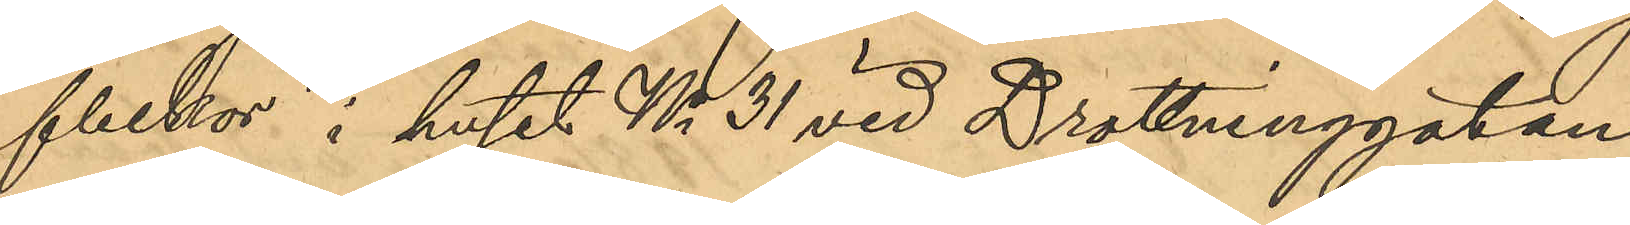flickor" i huset No 31 vid Drottninggatan
